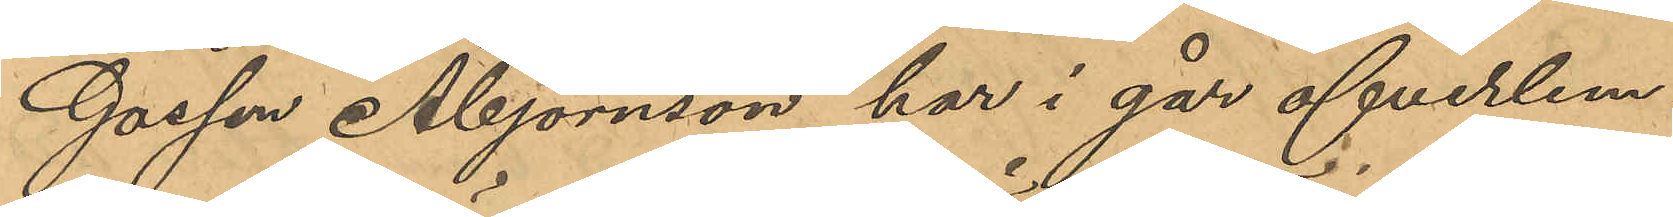Gossen Åbjörnson har i går öfverlem¬
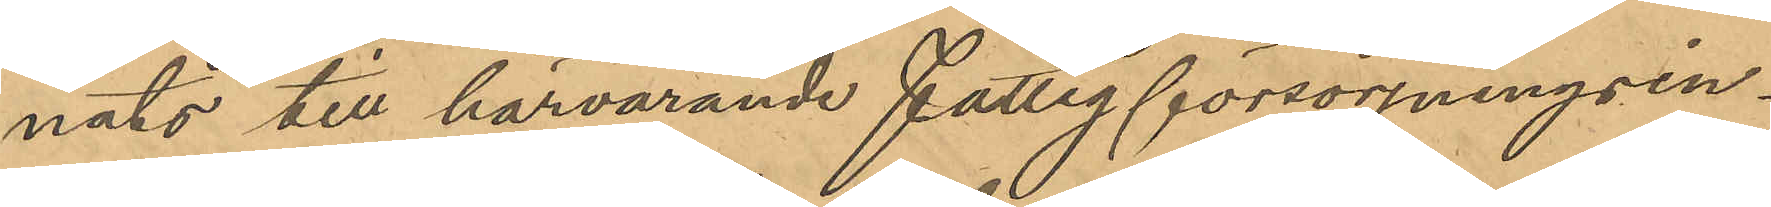nats till härvarande fattigförsörjningsin-
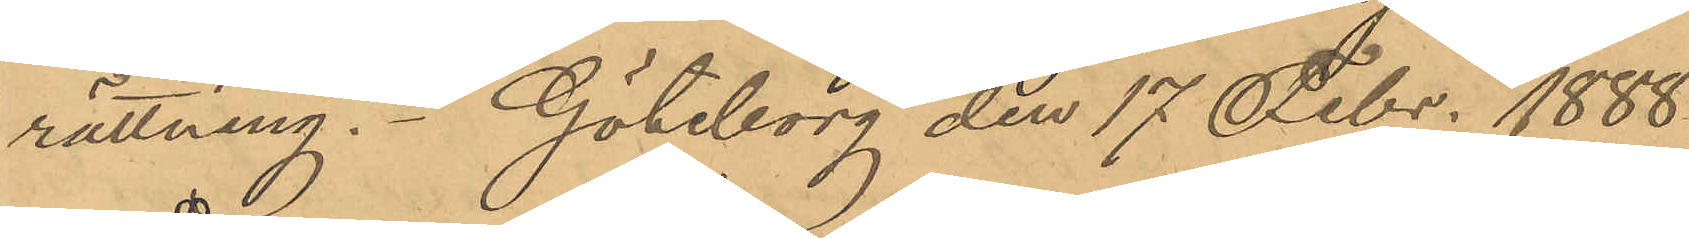rättning. Göteborg den 17 Febr. 1888.
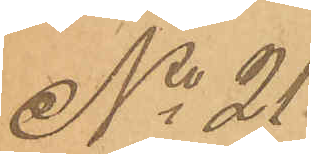No 21.
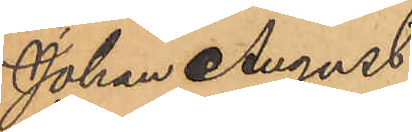Johan August
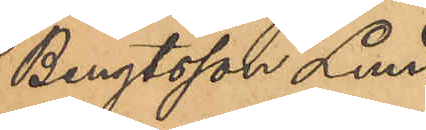Bengtsson Lund¬
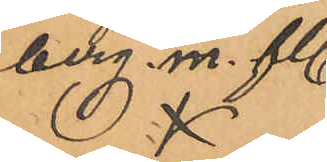berg m.fl.
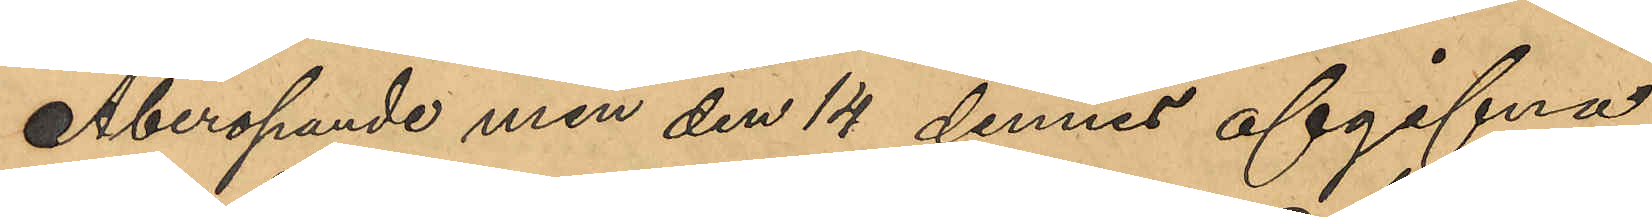Åberopande min den 14 dennes afgifna
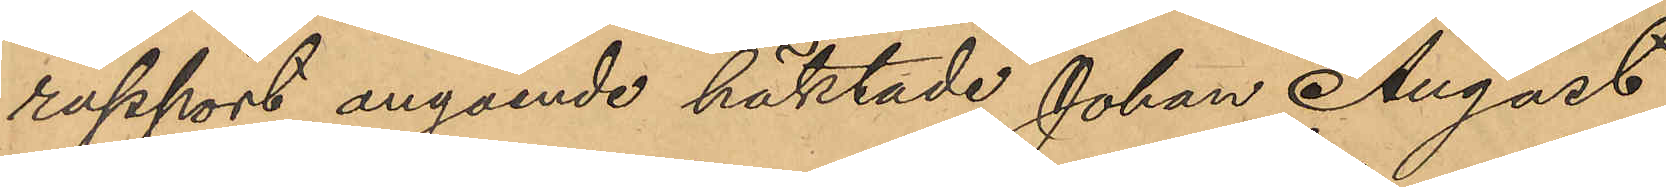rapport angående häktade Johan August
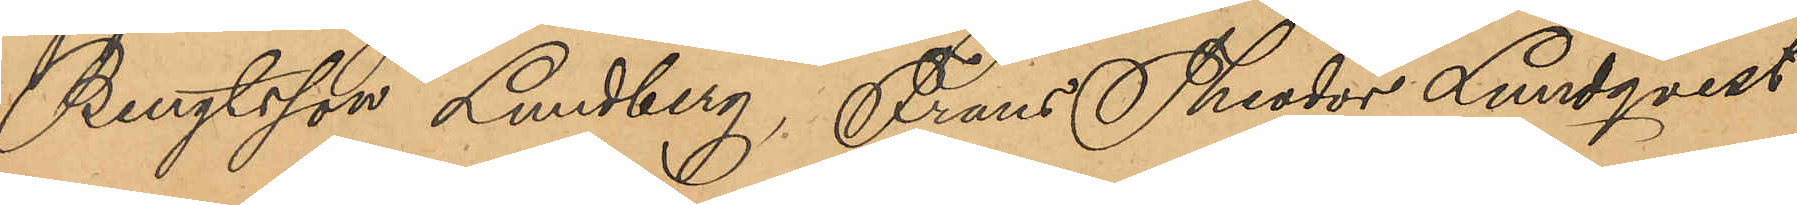Bengtsson Lundberg, Frans Theodor Lundqvist
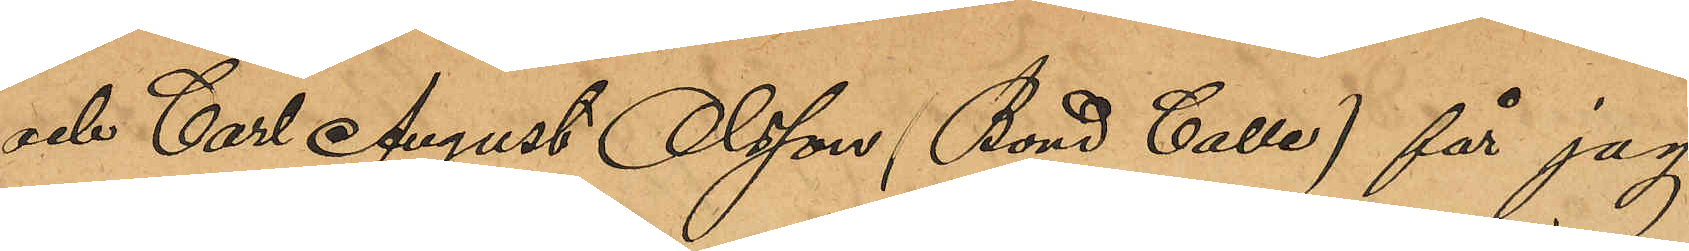och Carl August Olsson (Bond Calle) får jag
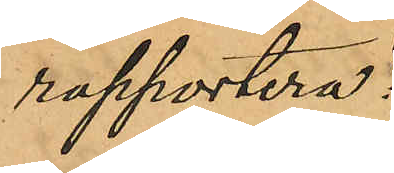rapportera:
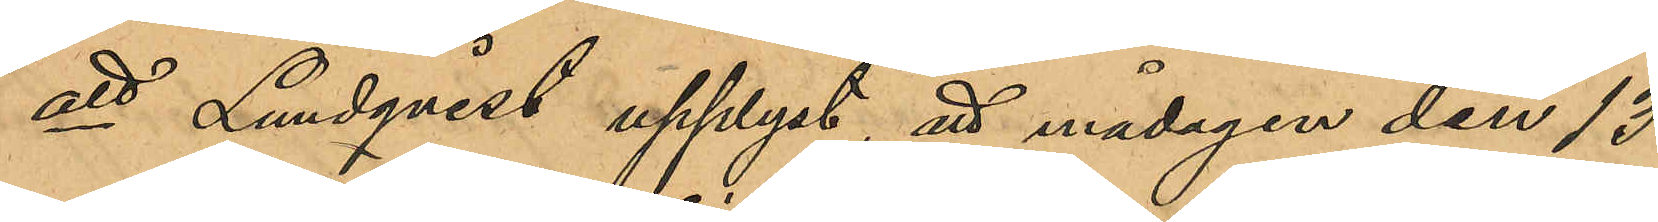att Lundqvist upplyst, att måndagen den 13
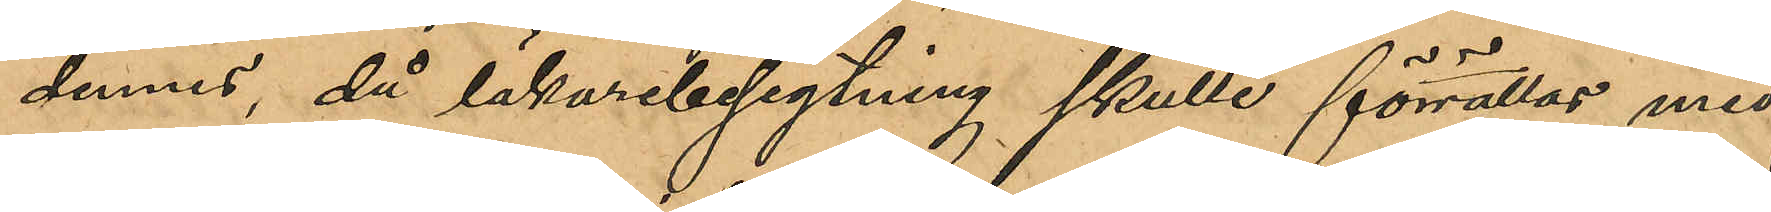dennes, då läkarbesigtning skulle förrättas med
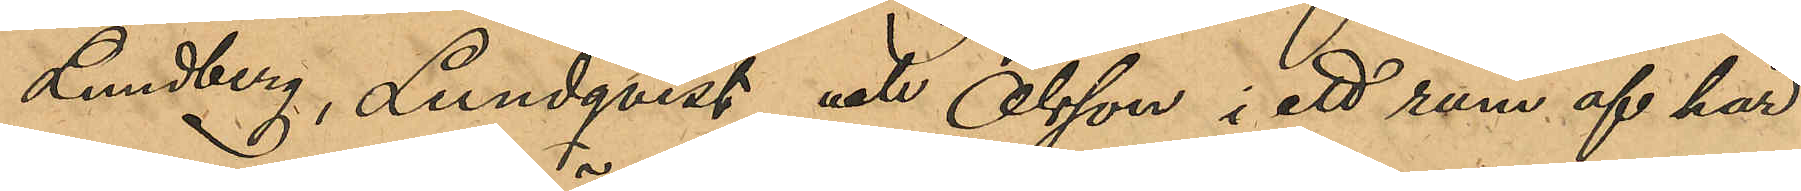Lundberg, Lundqvist och Olsson i ett rum af här¬
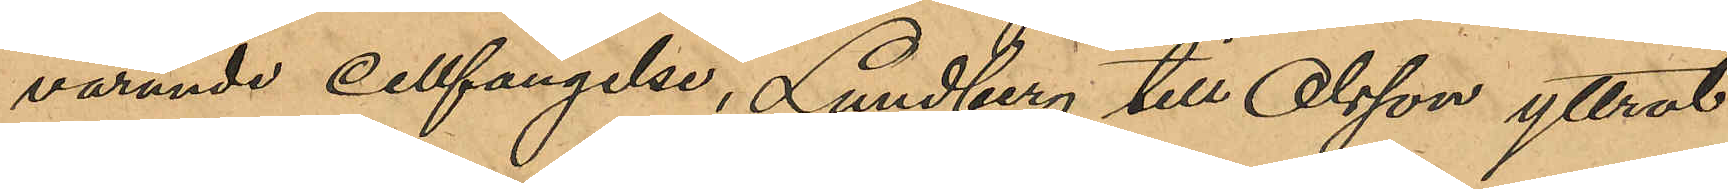varande Cellfängelse, Lundberg till Olsson yttrat:
